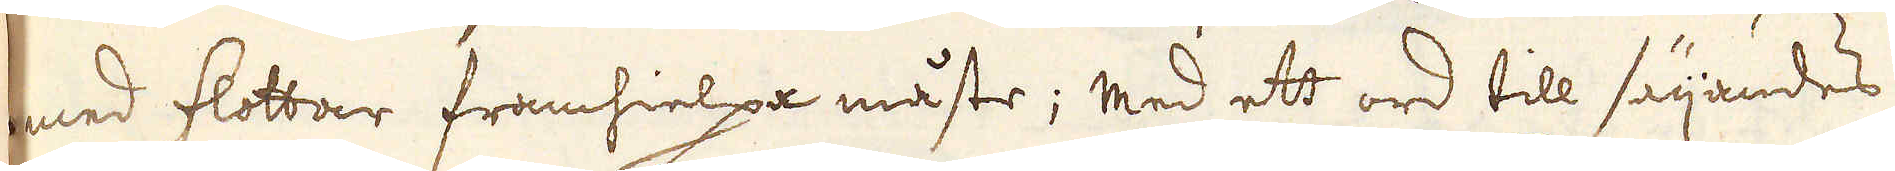med flottar framhielpa måste; med ett ord till säijandes
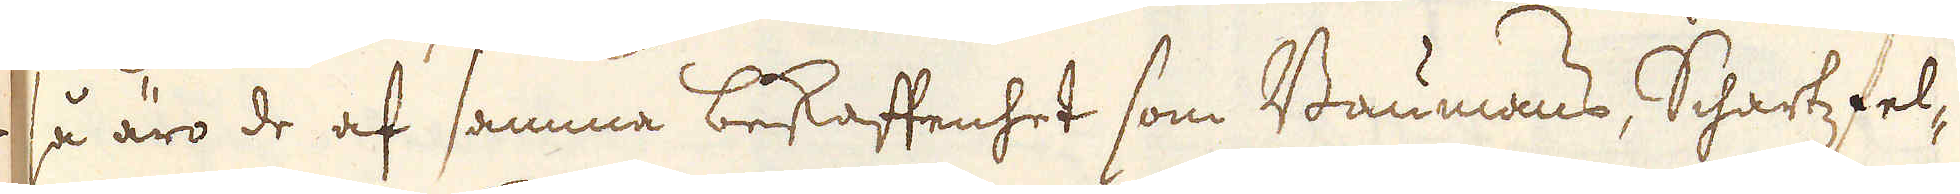så äro de af samma bekaftenhet som Baumans, Schartz fel-
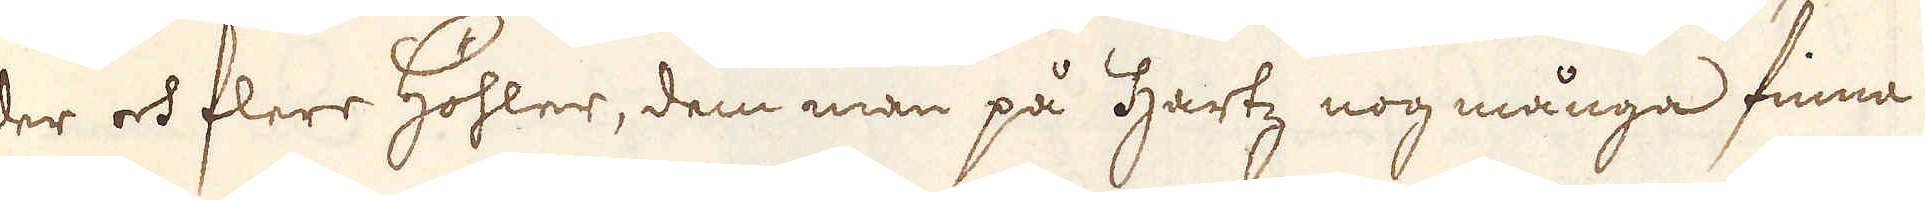der och flere höhler, dem man på Hartz nog många finna
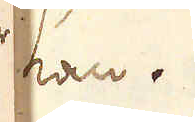kan.
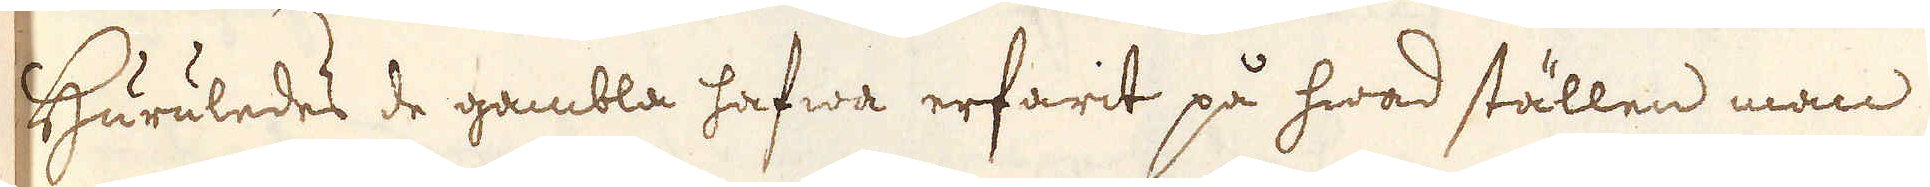Huruledes de gambla hafwa erfarit på hwad ställen man
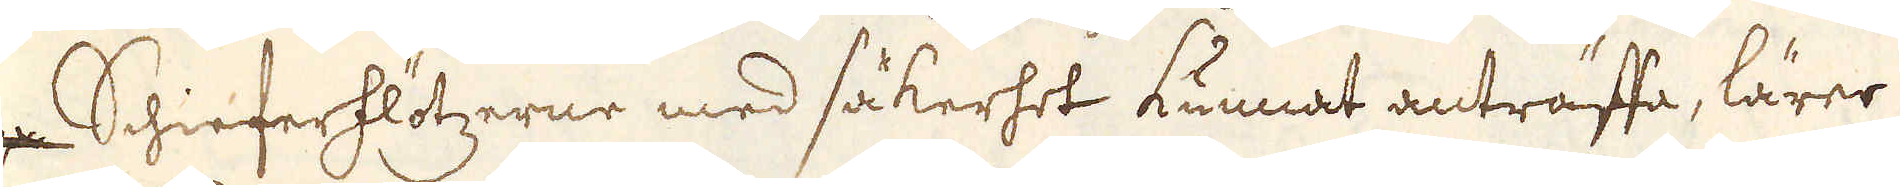på Schieferflötzerne med säkerhet kunnat anträffa, lärer
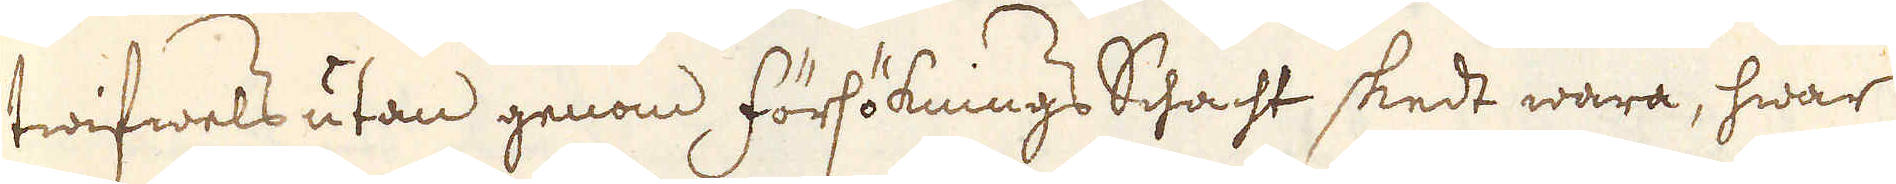twifwels utan genom försöknings Schacht skedt wara, hwar
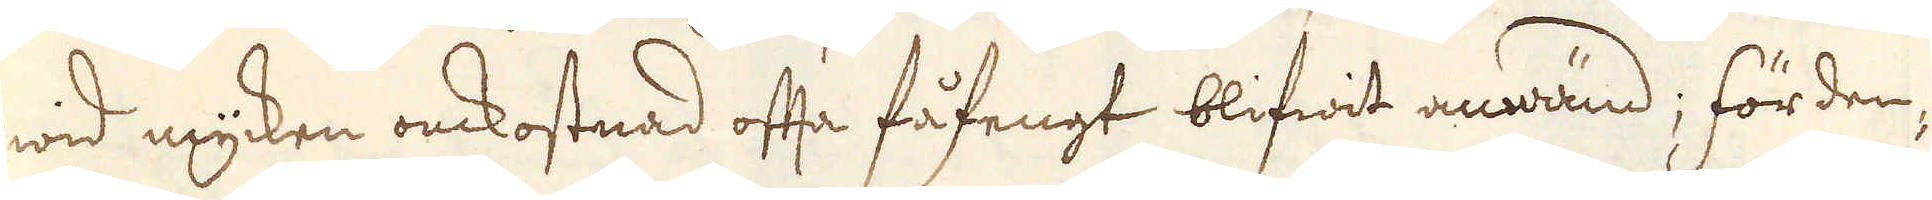wid mycken omkostnad ofta fåfengt blifwit anwänd; förden-
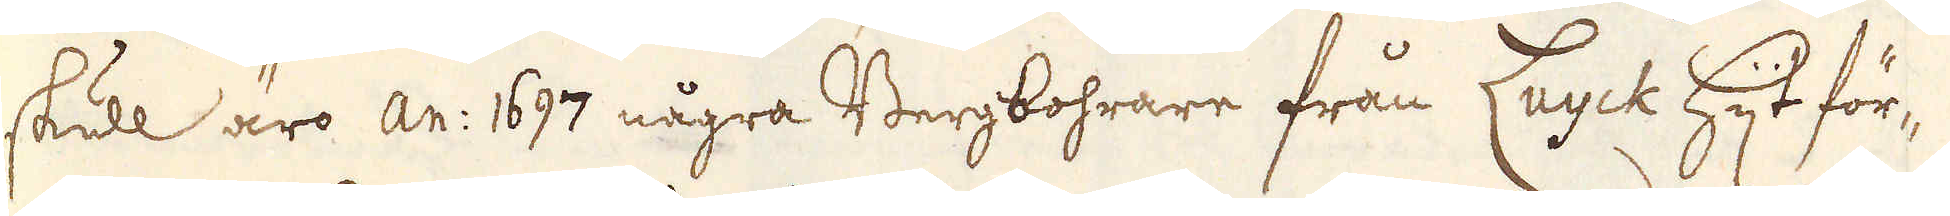skull äro an: 1697 några Bergbohrare från Luyk hijt för-
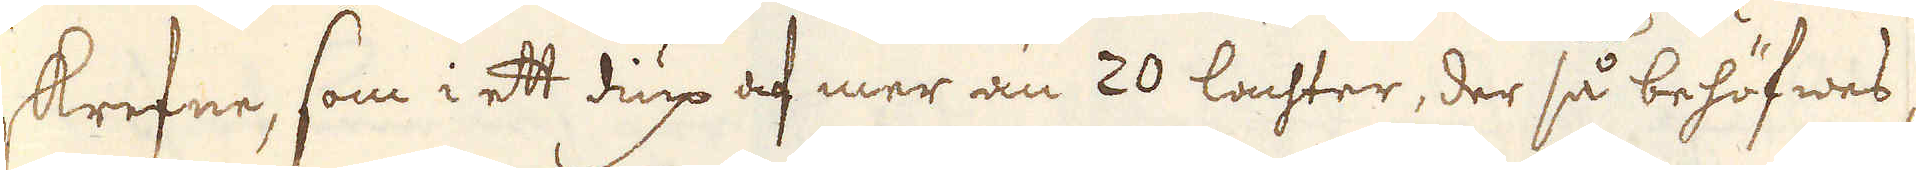skrefne, som i ett diup af mer än 20 lachter, der så behöfwes,
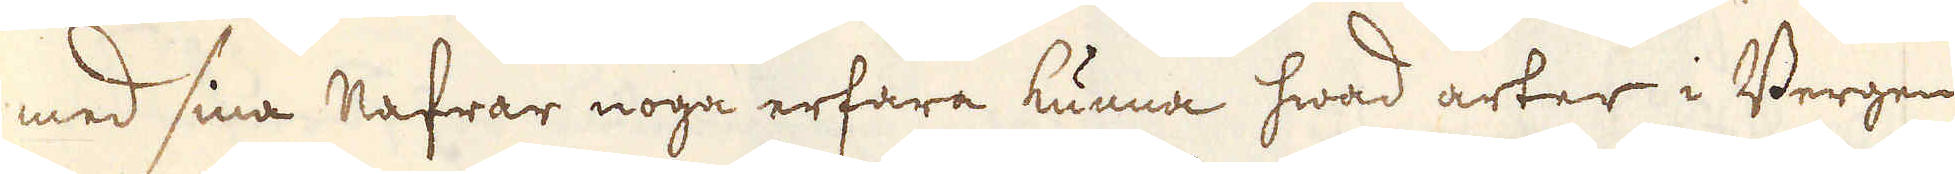med sina nafrar noga erfara kunna hwad arter i Bergen
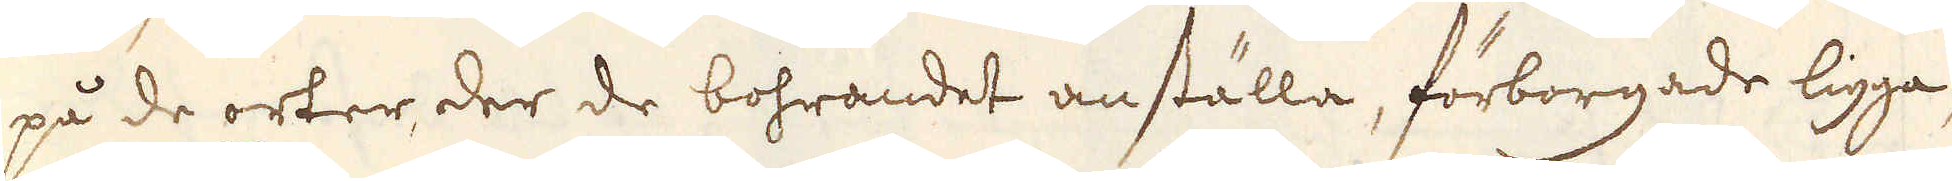på de orter der de bohrandet anställa, förborgade ligga,
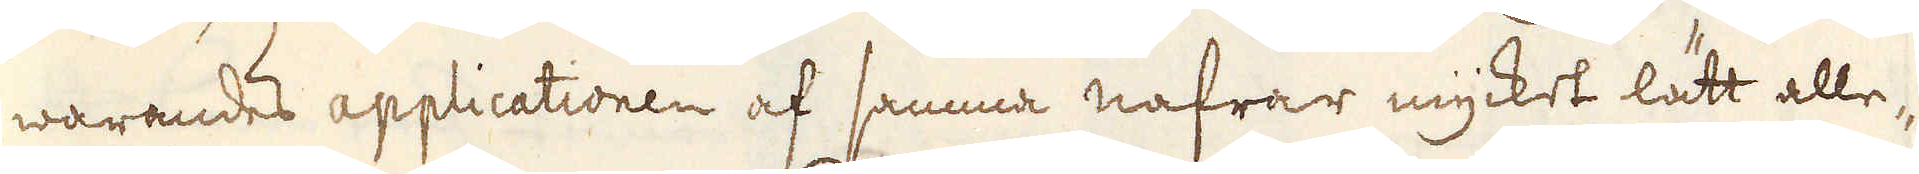warandes applicationen af samma nafrar mycket lätt alle-
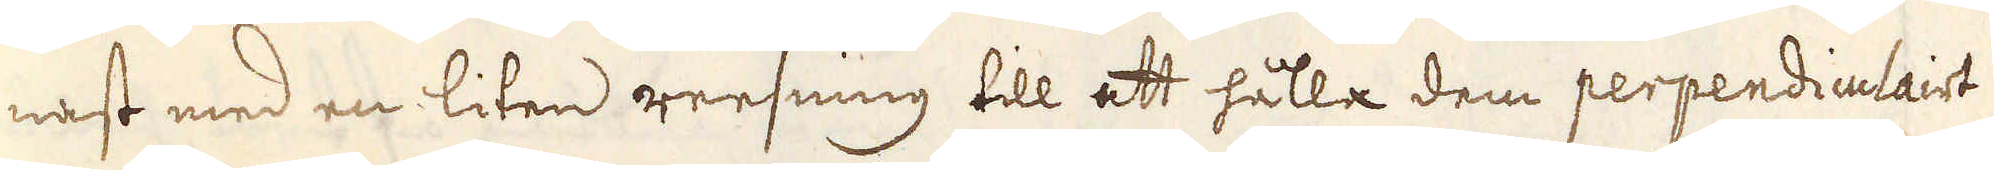nast med en liten reesning till att hålla dem perpendiculairt
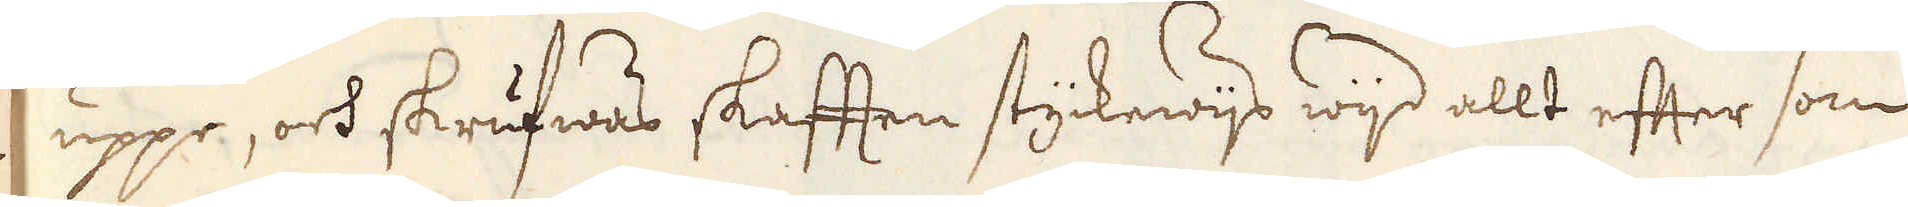uppe, och skrufwas skafften styckewijs wijd allt efter som
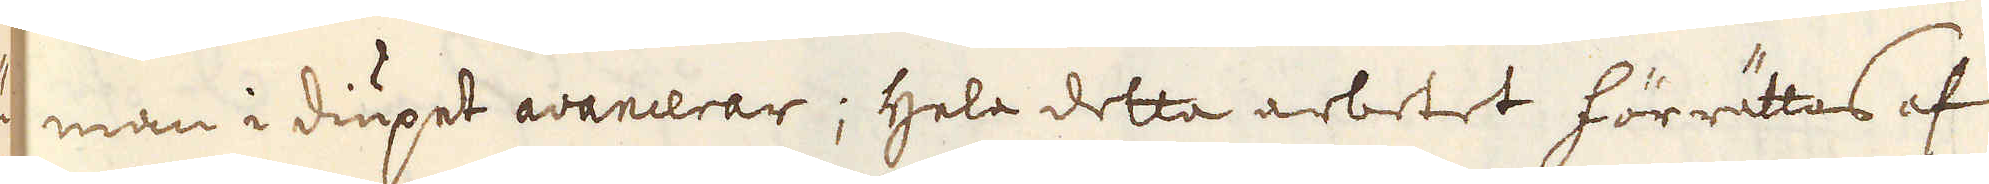man i diupet avancerar; Hela delta arbetet förrättas af
